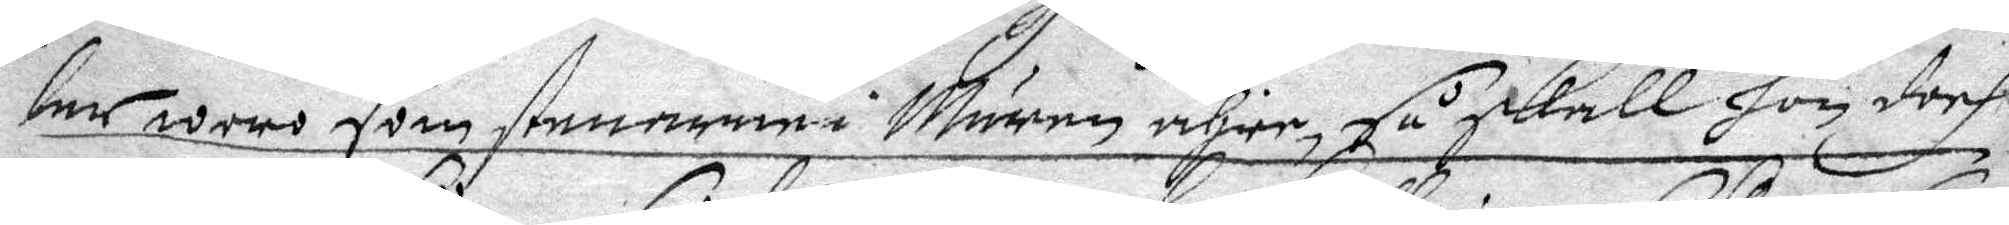lar woro som stenarna i Muren ähre, så skall hon doch
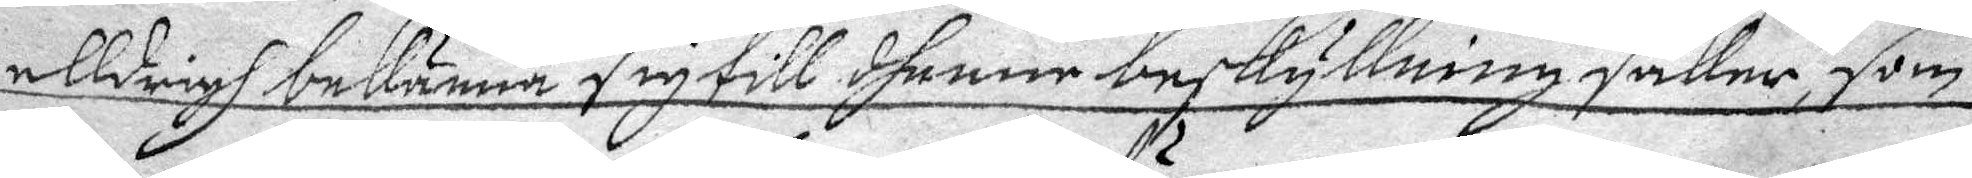alldrigh bekänna sig till dhenne beskyllningsaker, som
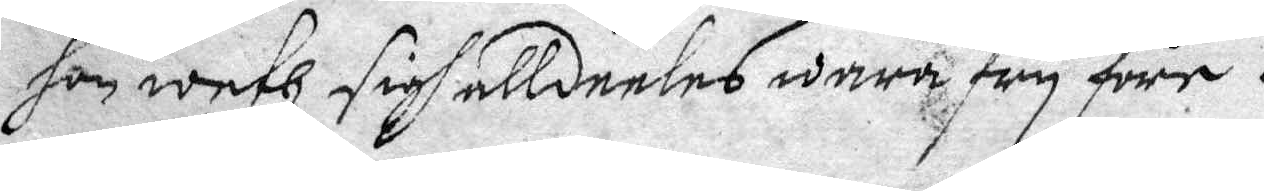hon weth sigh alldeeles wara fry före.
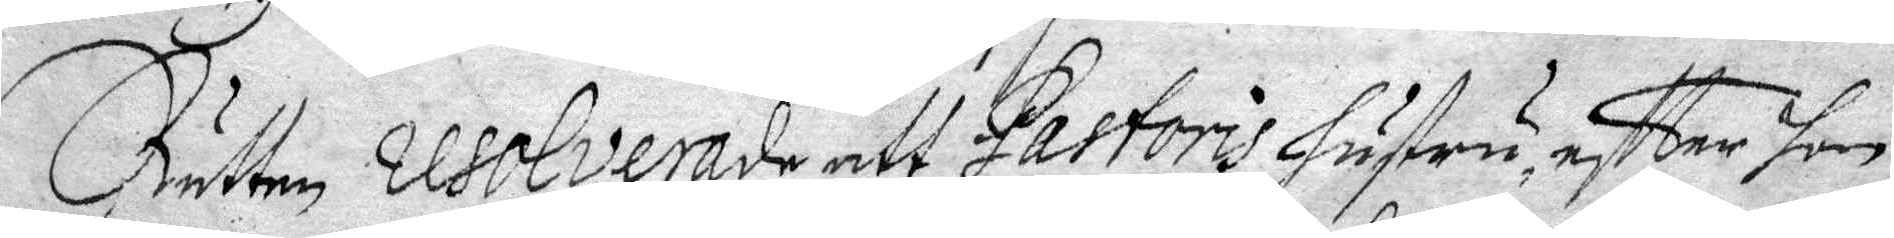Rätten resolverade att Pastoris hustru, eftter hon
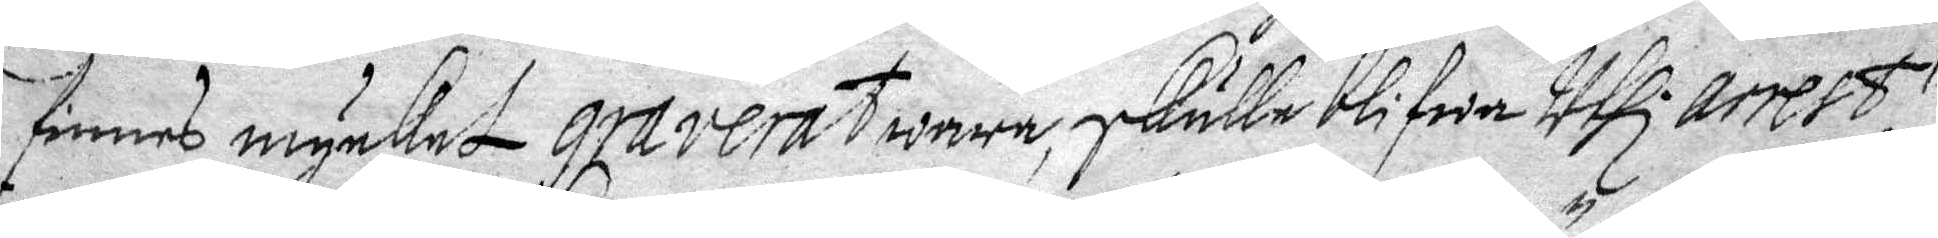finnes mycket graverat wara, skulle blifwa uthi arrest,
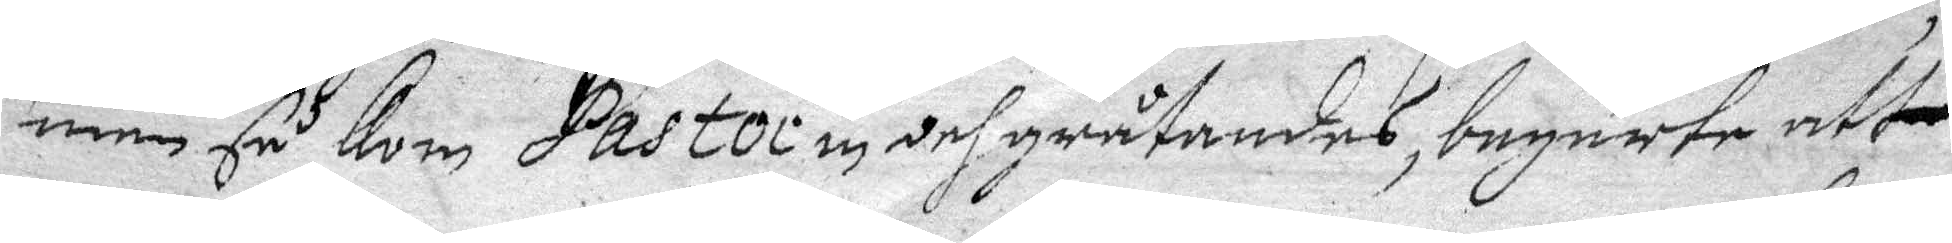men så kom Pastori in och gråtandes, begärte att
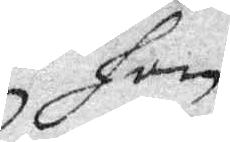hon
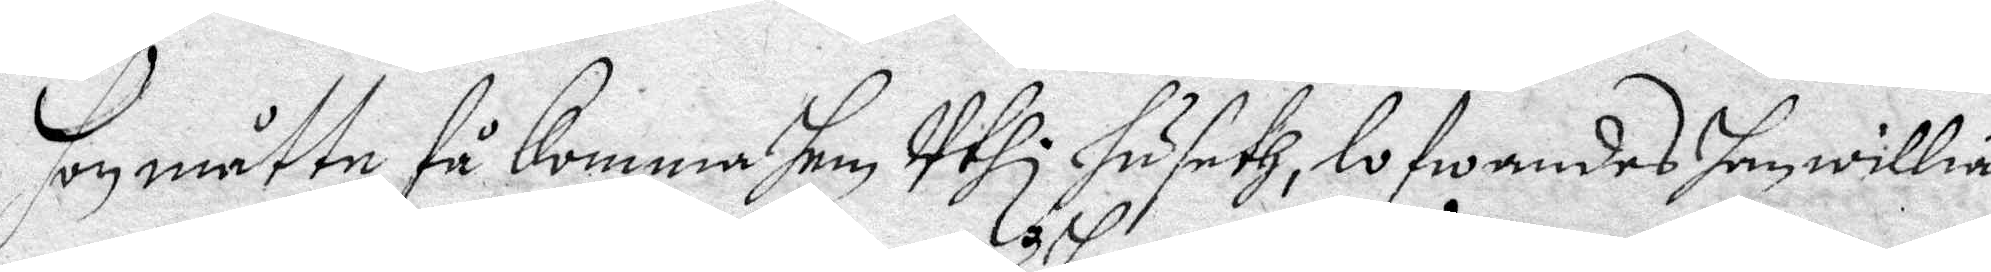hon måtte få komma hem uthi huseth, lofwandes han willia
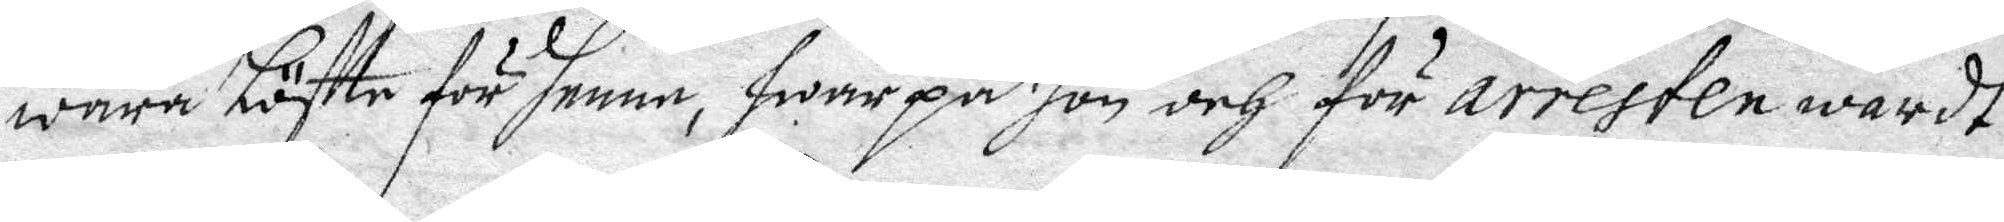wara Löftte för henne, hwarpå hon och för arresten wardt
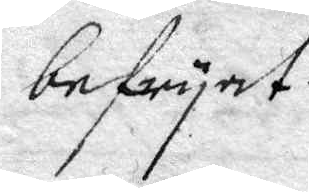befryat.
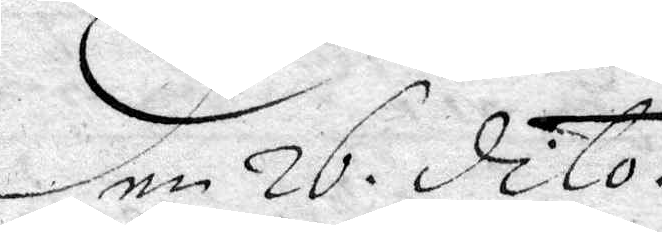Den 26 dito.
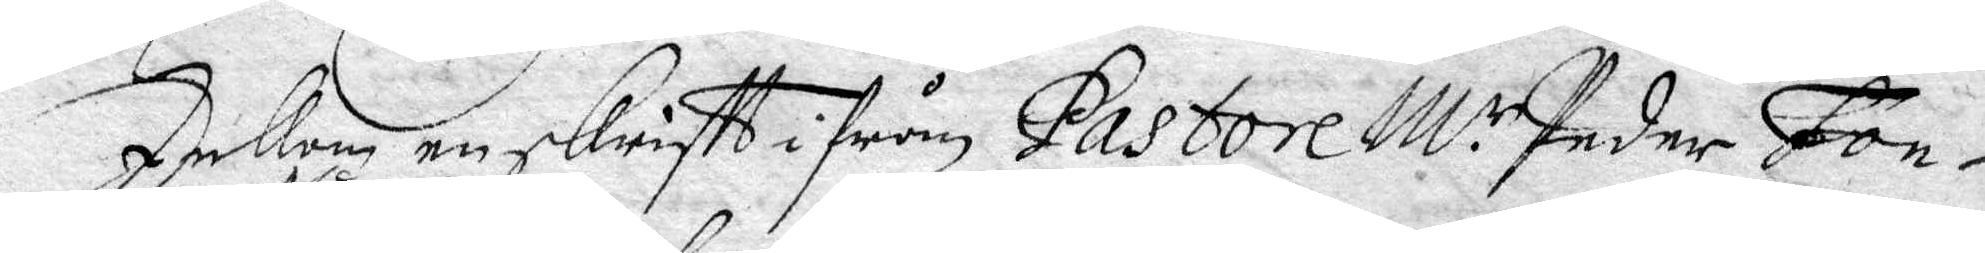Inkom en skriftt ifrån Pastore M.r Peder Fon¬
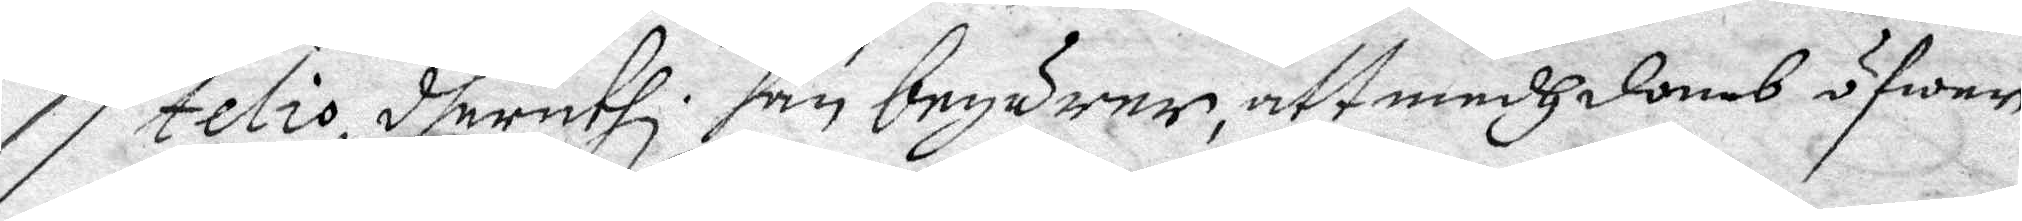telio, Num: 5, deruthi han begärer, att medh domb öfwer
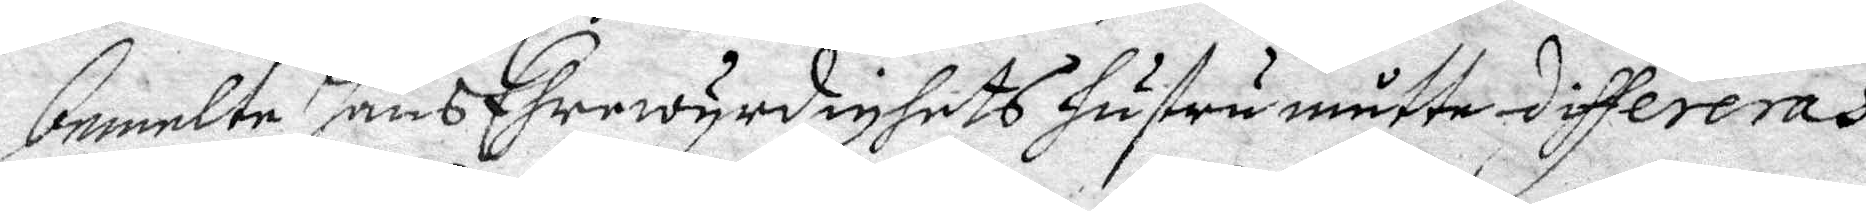bemälte hans Ehrewurdighets hustru måtte differeras
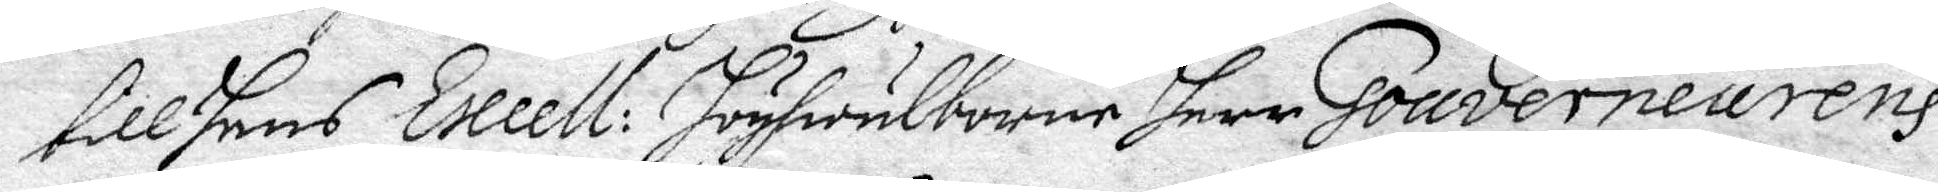till hans Excell: högwälborne herr Gouverneurens
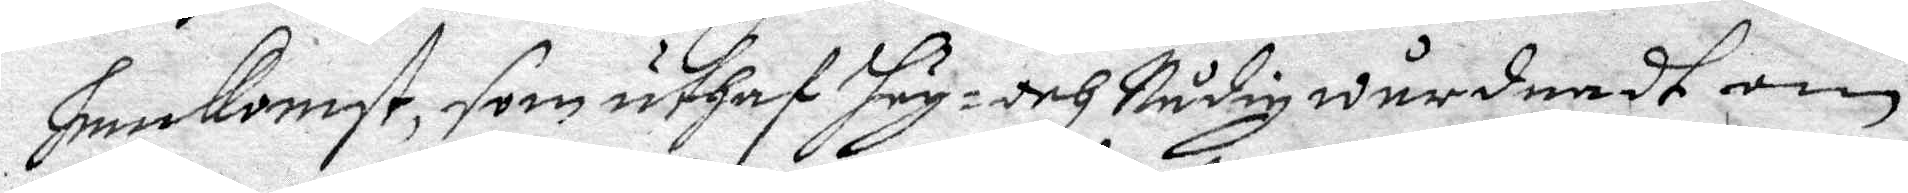hemkomst, som uthaf hög- och Nådig wårdnadt om
